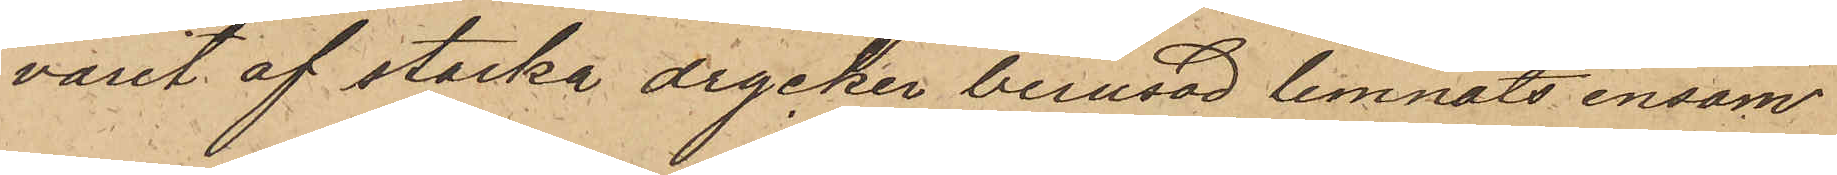varit af starka drycker berusad, lemnats ensam
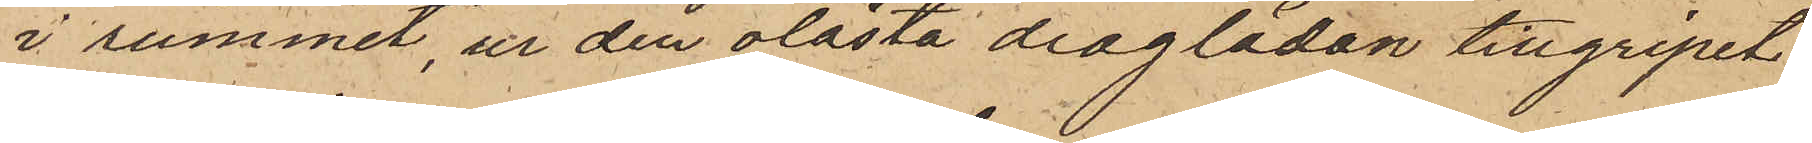i rummet, ur den olåsta draglådan tillgripit
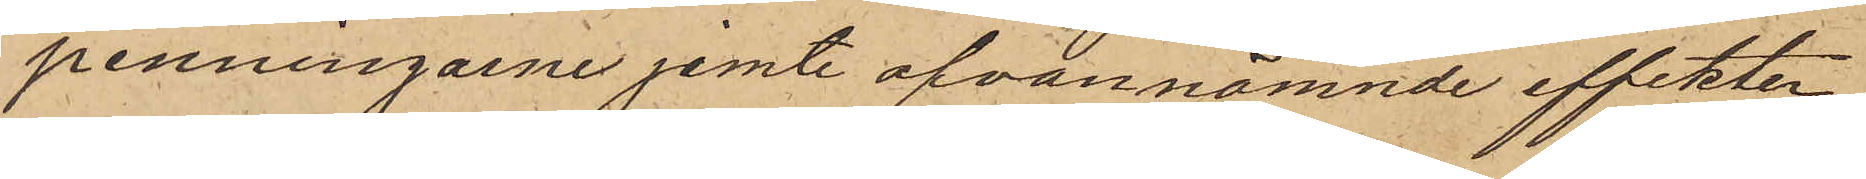penningarne jemte ofvannämnde effekter
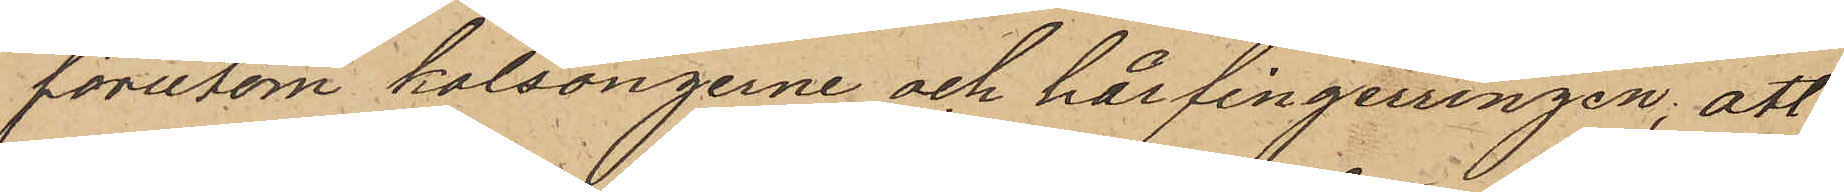förutom kalsongerne och hårfingerringen; att
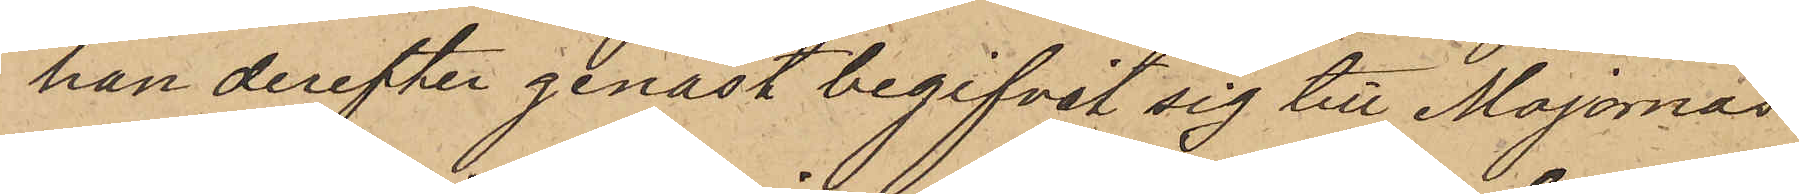han derefter genast begifvit sig till Majornas
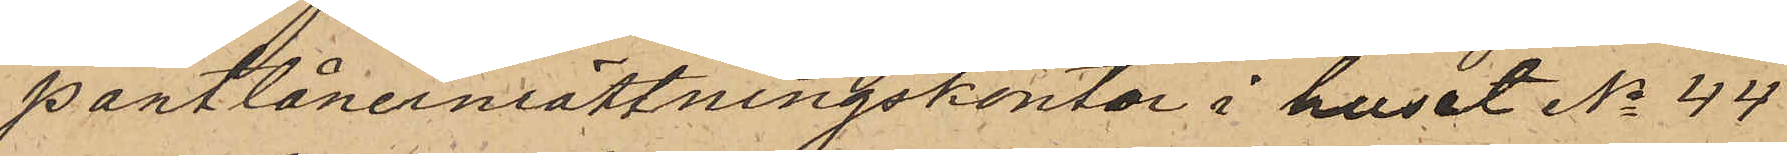pantlåneinrättningskontor i huset No 44
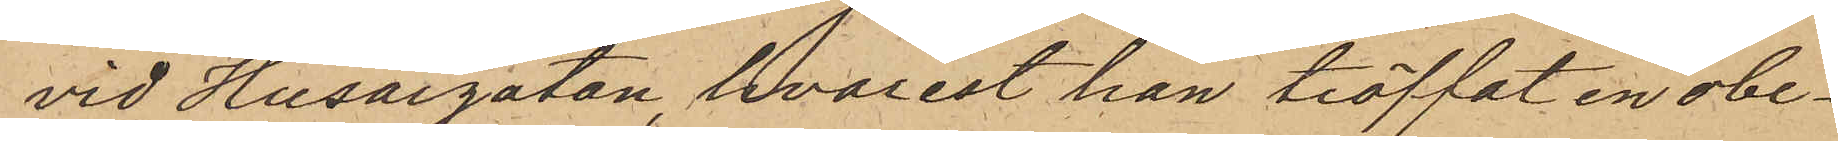vid Husargatan, hvarest han träffat en obe¬
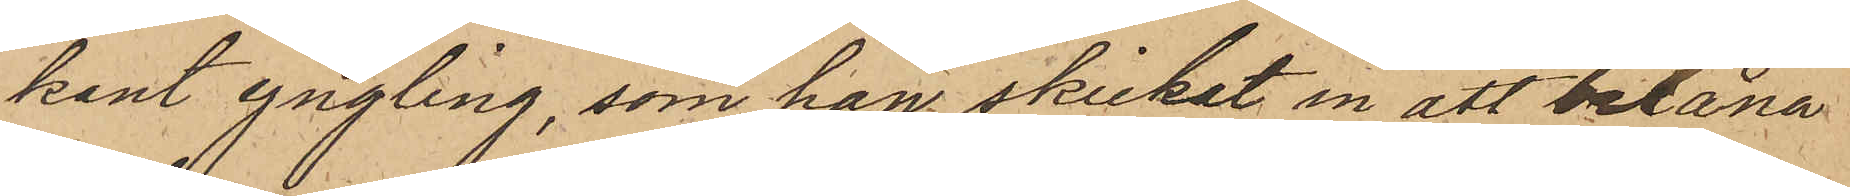kant yngling, som han skickat in att belåna
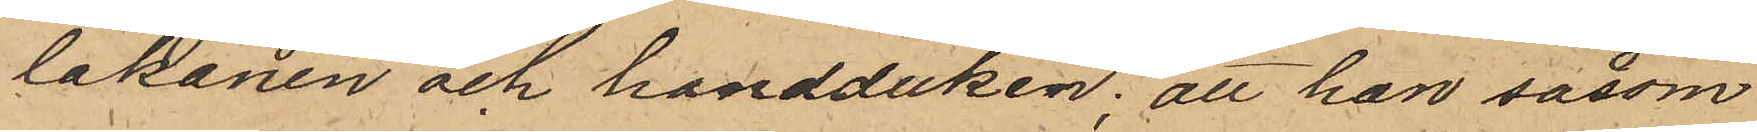lakanen och handduken; att han såsom
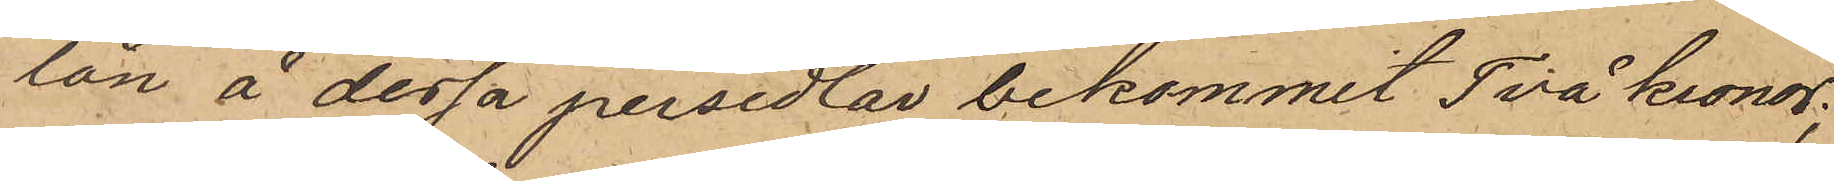lån å dessa persedlar bekommit Två Kronor;
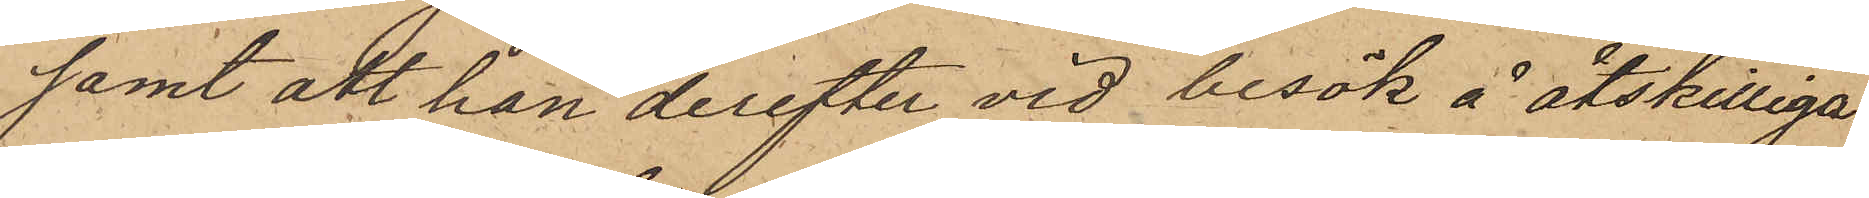samt att han derefter vid besök å åtskilliga
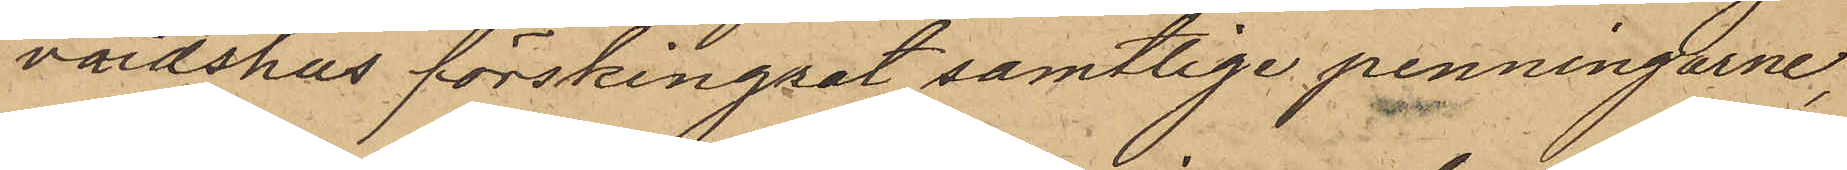värdshus förskingrat samtlige penningarne,
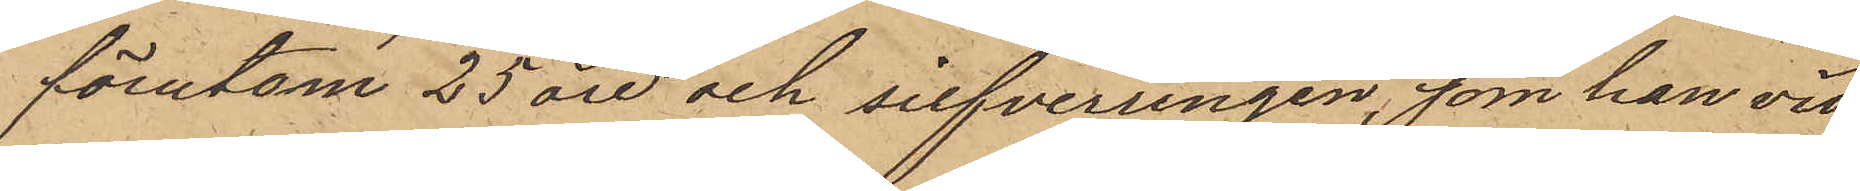förutom 25 öre och silfverringen, som han vid
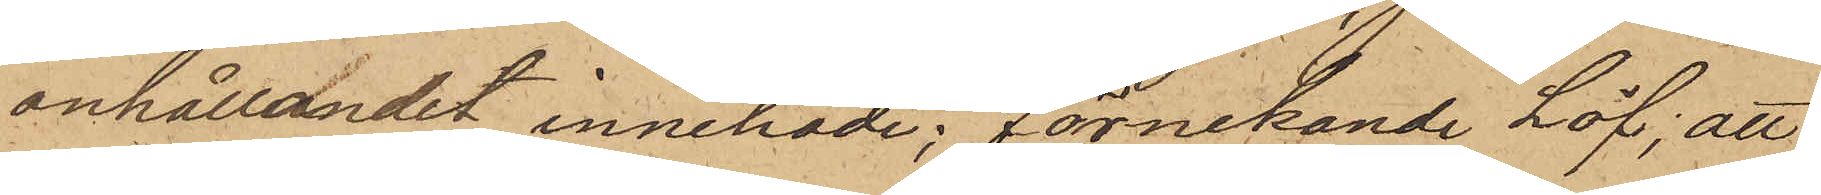anhållandet innehade, förnekande Löf; att
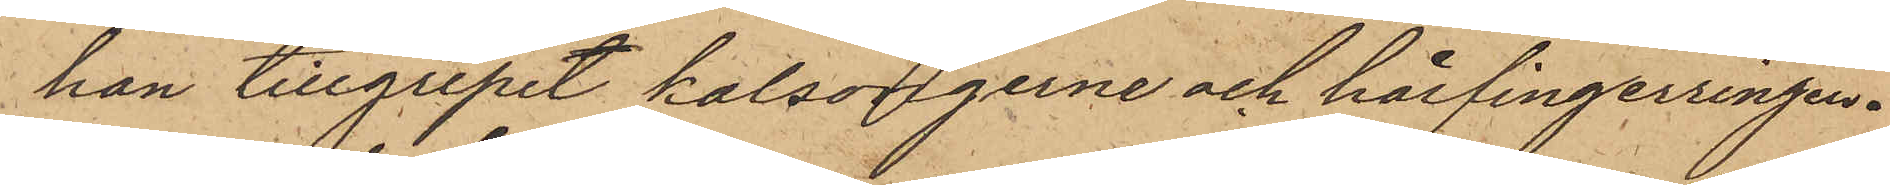han tillgripit kalsongerne och hårfingerringen.
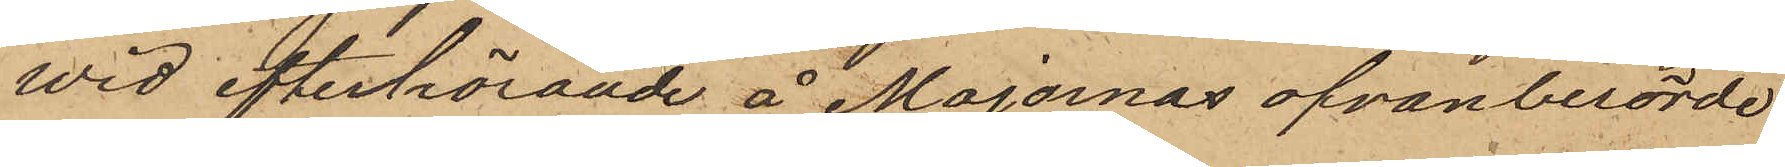Wid efterhörande å Majornas ofvanberörde
